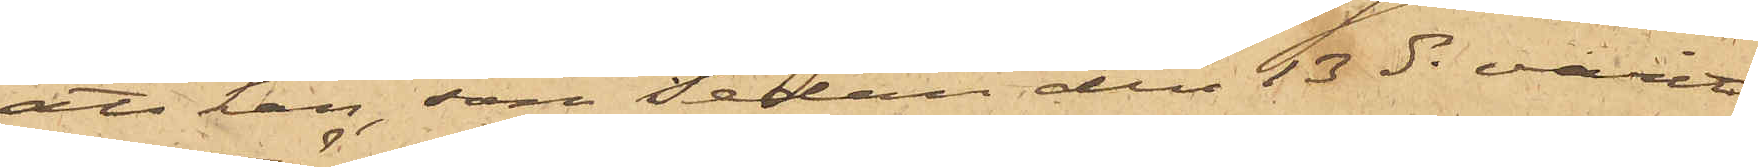att han, som sedan den 13 ds varit
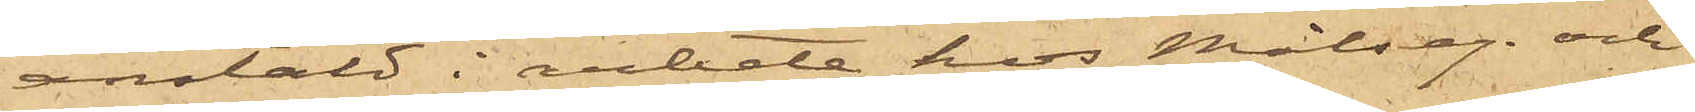anstäld i arbete hos Målseg. och
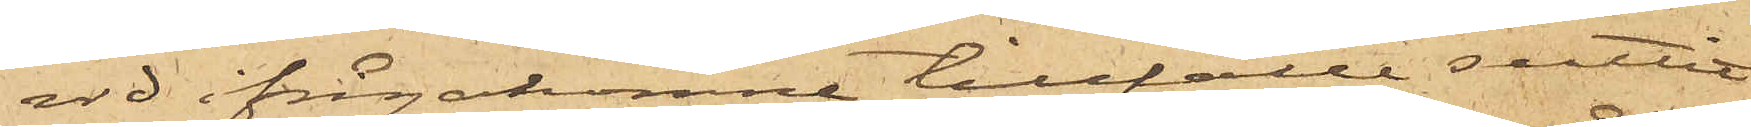vid ifrågakomne tillfälle suttit
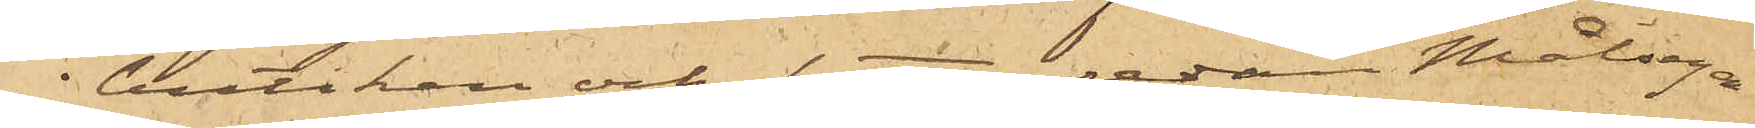i butiken och sytt, sedan Målsega¬
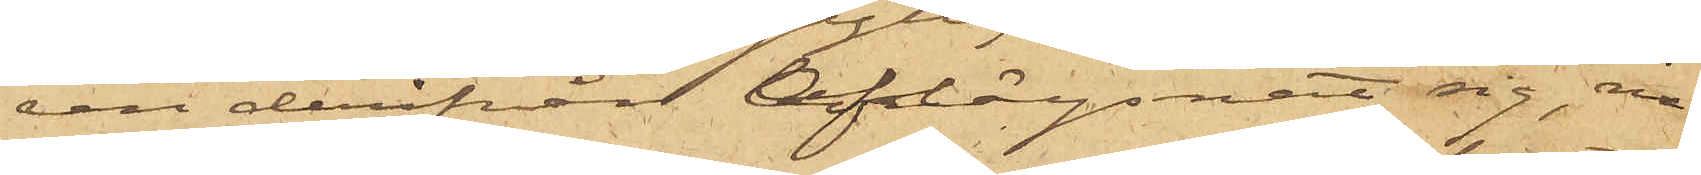ren derifrån aflägsnat sig, in¬
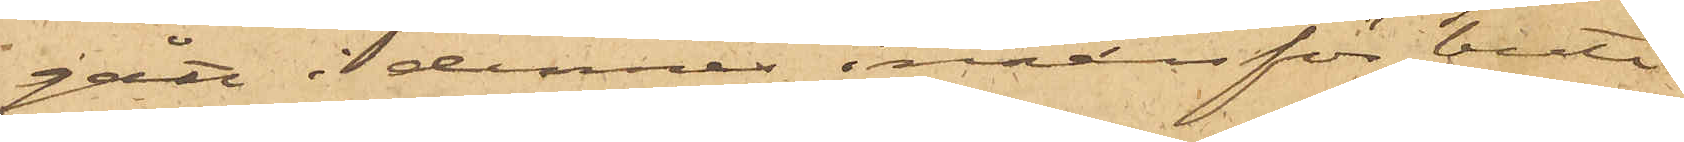gått i dennes innanför buti¬
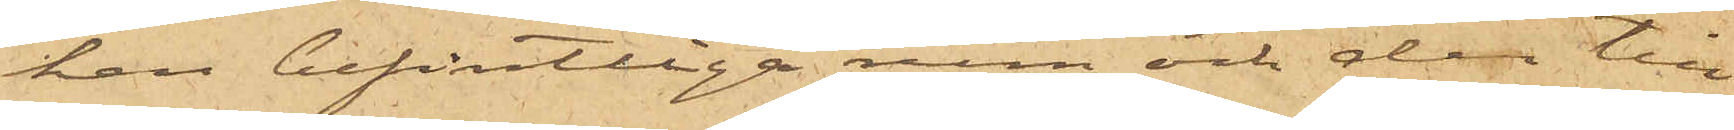ken befintliga rum och der till¬
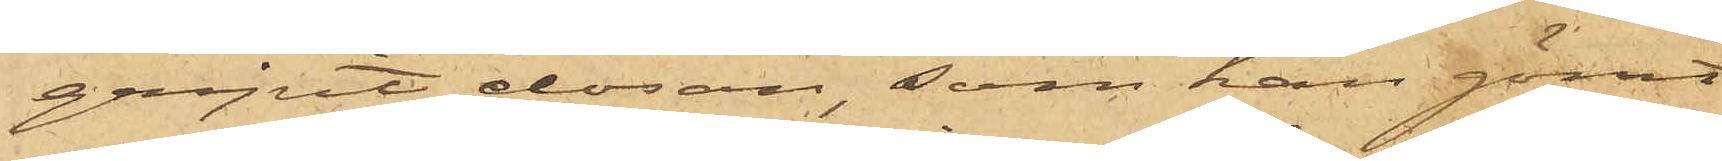gripit dosan, som han gömt
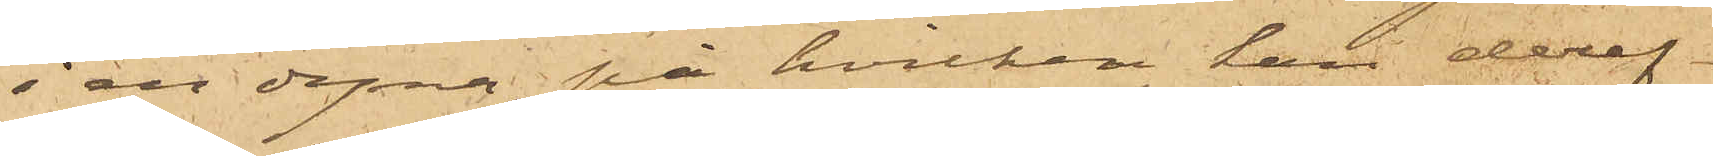i en dyna, på hvilken han deref¬
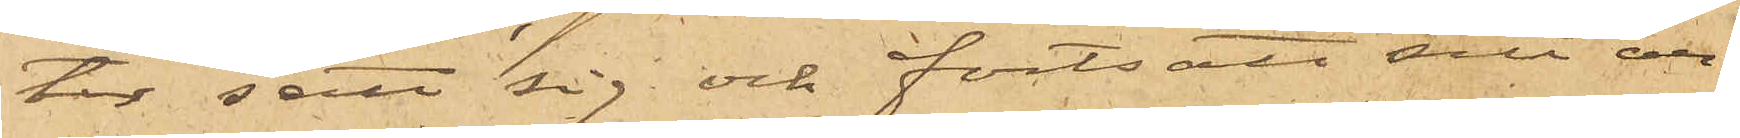ter satt sig och fortsatt att ar¬
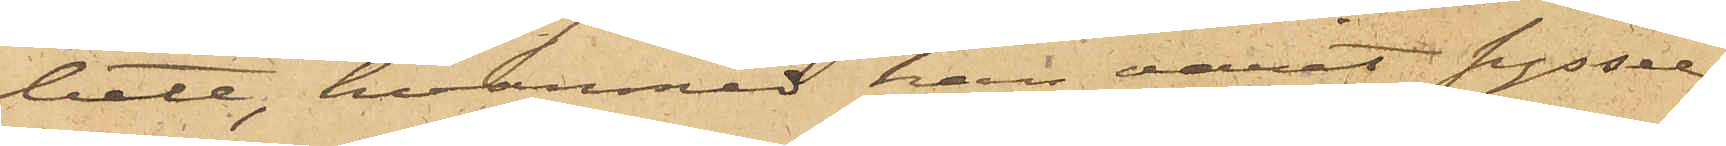beta, hvarmed han varit syssel¬
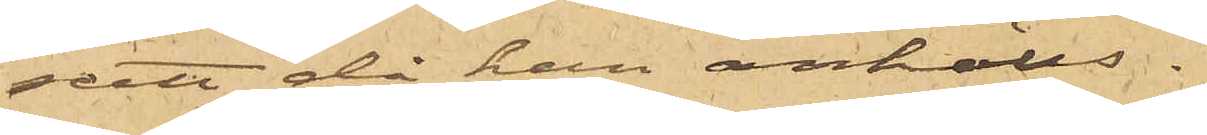satt då han anhölls.
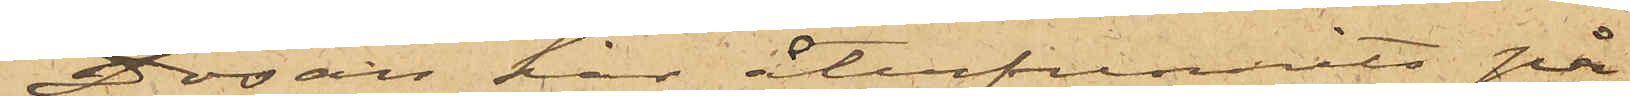Dosan har återfunnits på
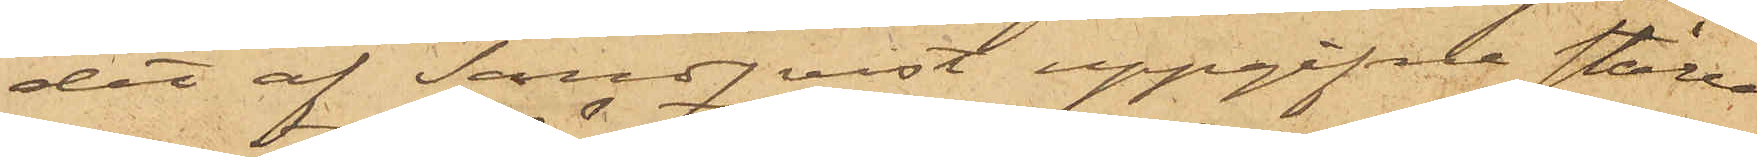det af Sandqvist uppgifna ställe
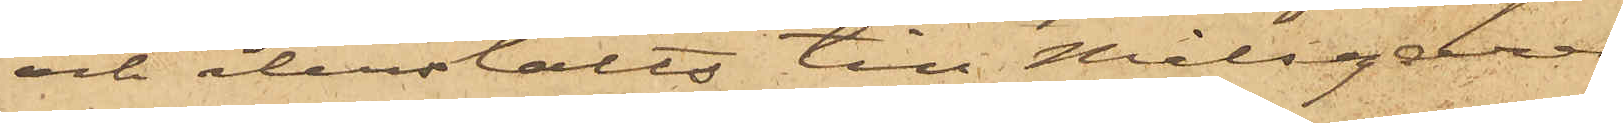och återstälts till Målsegaren.
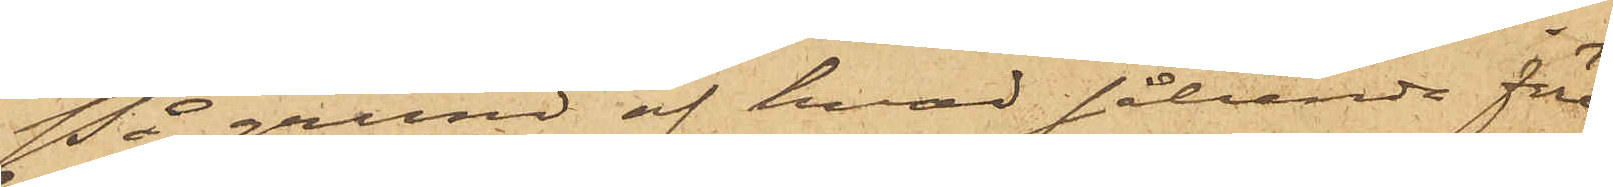På grund af hvad sålunda före¬
